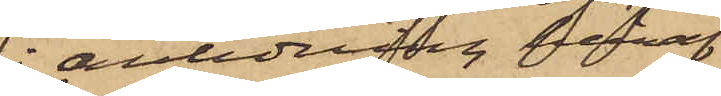anledning häraf
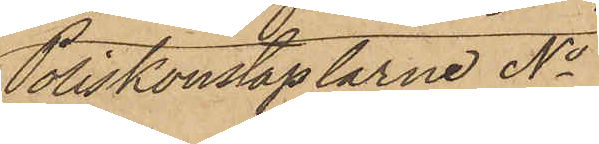Poliskonstaplarne No
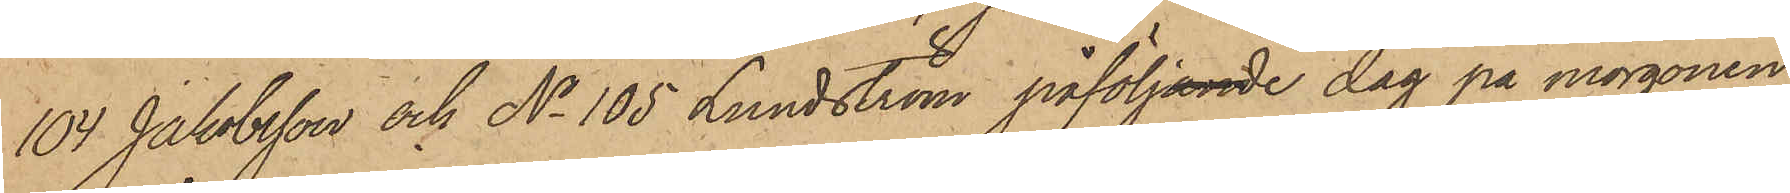104 Jakobsson och No 105 Lundström påföljande dag på morgonen
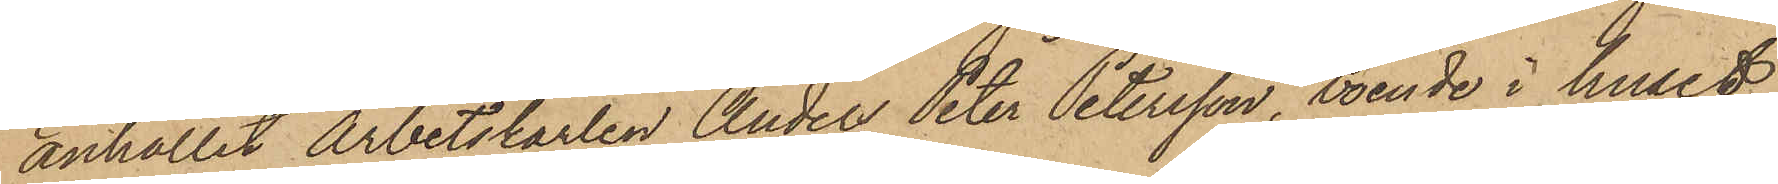anhållit Arbetskarlen Anders Peter Petersson, boende i huset
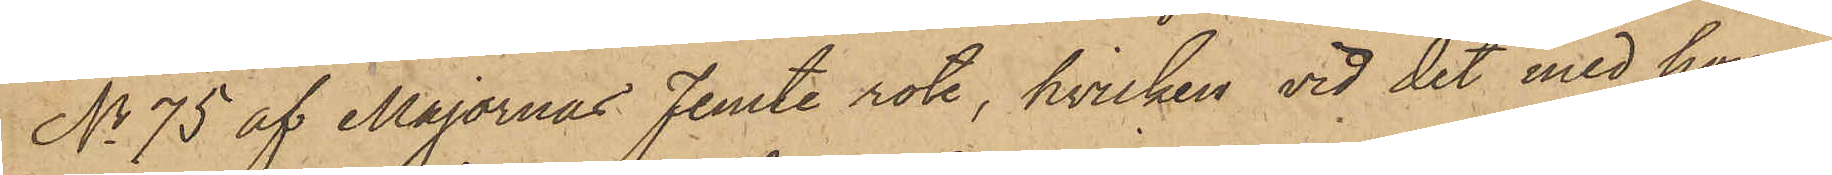No 75 af Majornas Femte rote, hvilken vid det med honom
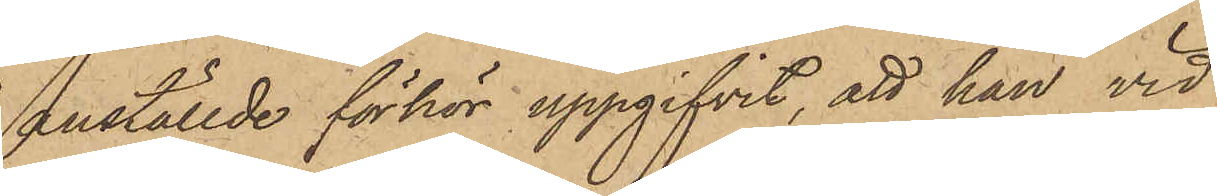anställde förhör uppgifvit, att han vid
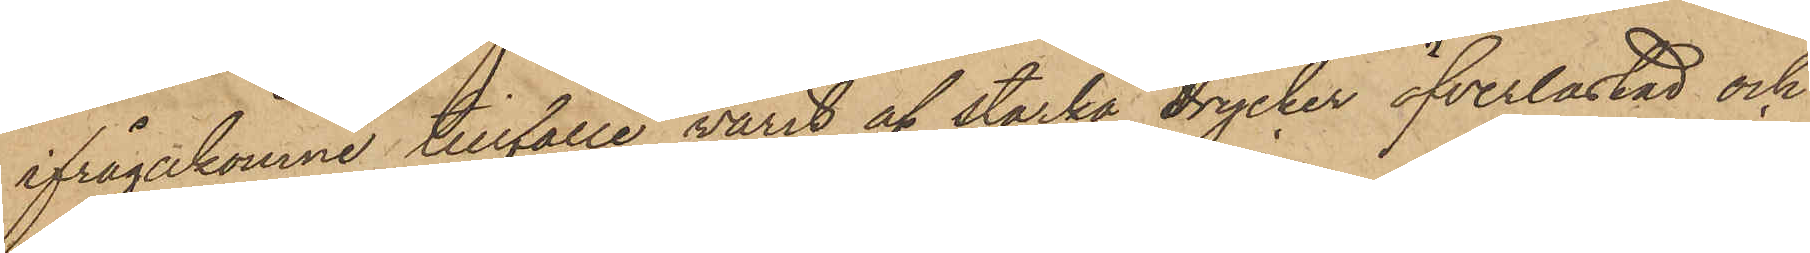ifrågakomne tillfälle varit af starka drycker öfverlastad och
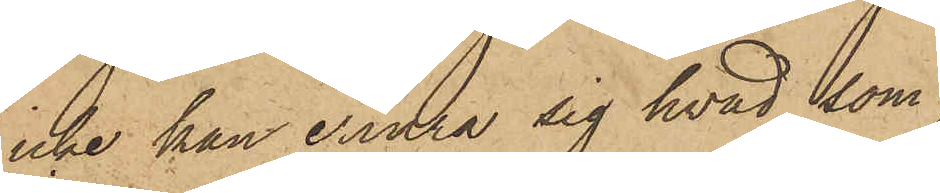icke han erinra sig hvad som
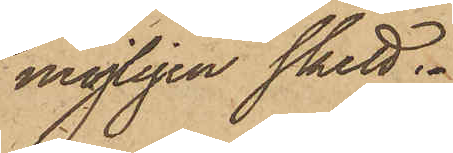möjligen skett.
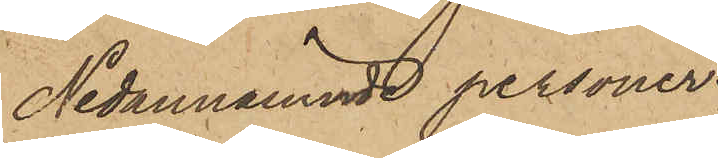Nedannämnde personer
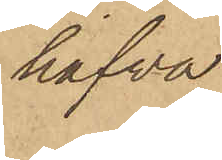hafva
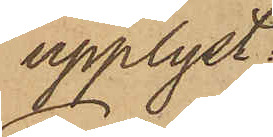upplyst:
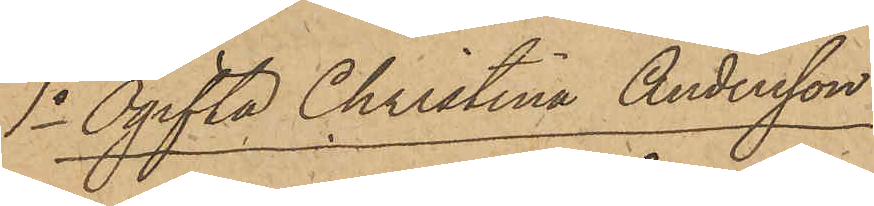1o Ogifta Christina Andersson:
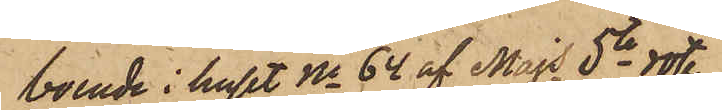boende i huset No 64 af Majs 5te rote
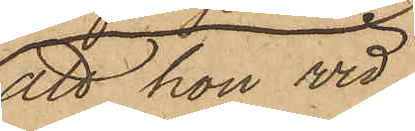att hon vid
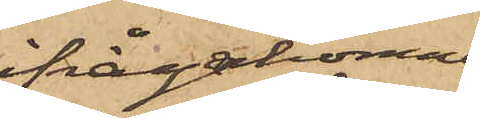ifrågakomne
